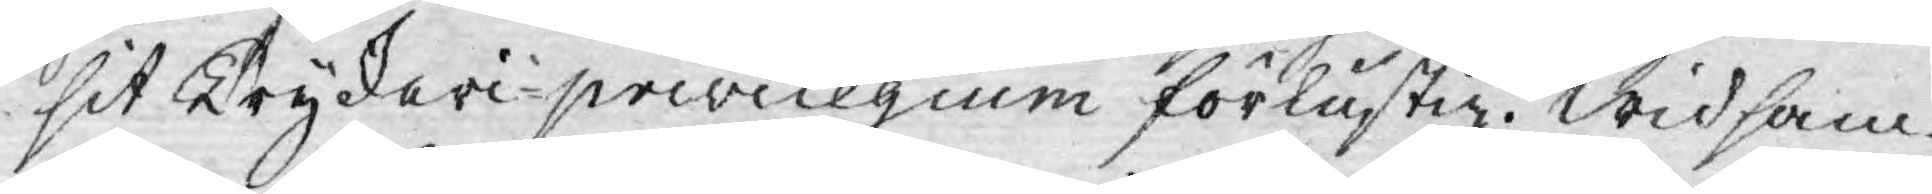sit Tryckeri-privilegium förlustig. Wid sam¬
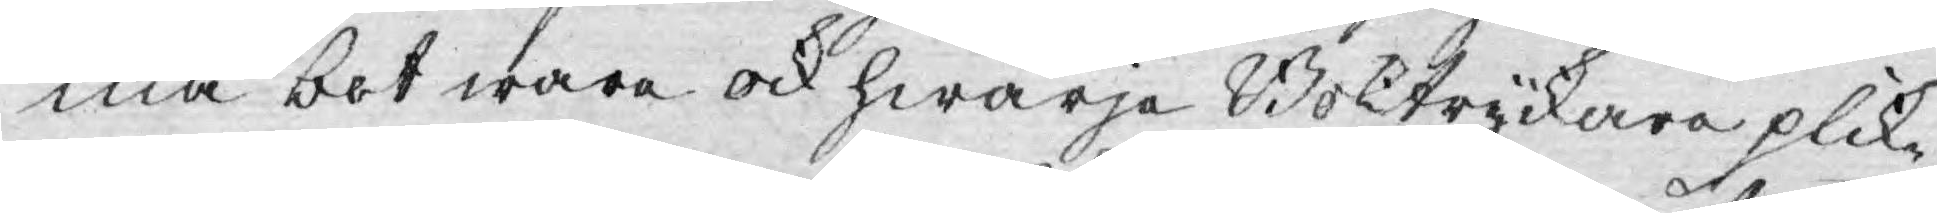ma bot ware ock hwarje Boktryckare plik¬
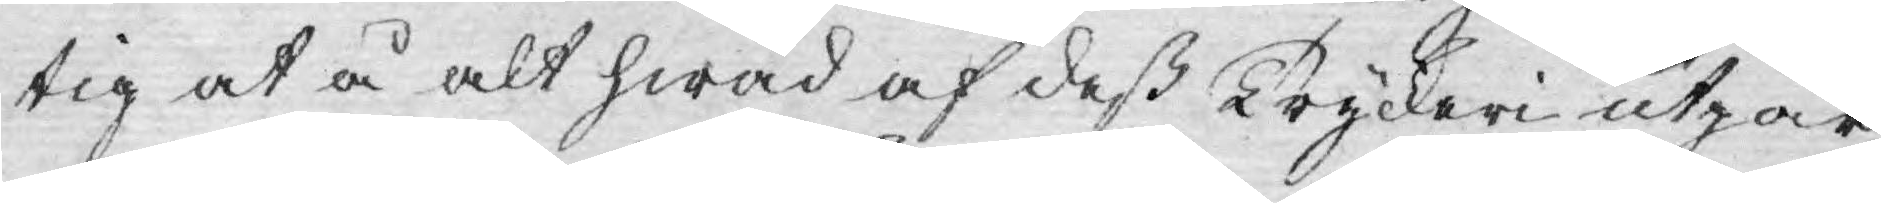tig at å alt hwad af deß Tryckeri utgår,
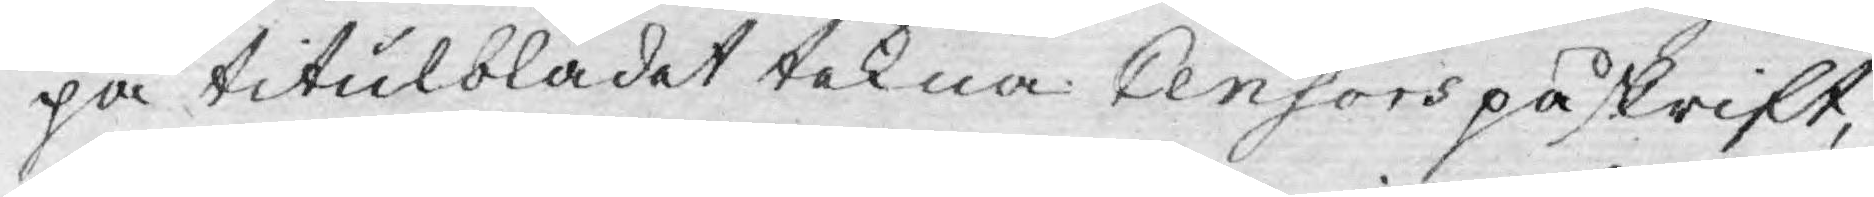på titulbladet tekna Censors påskrift,
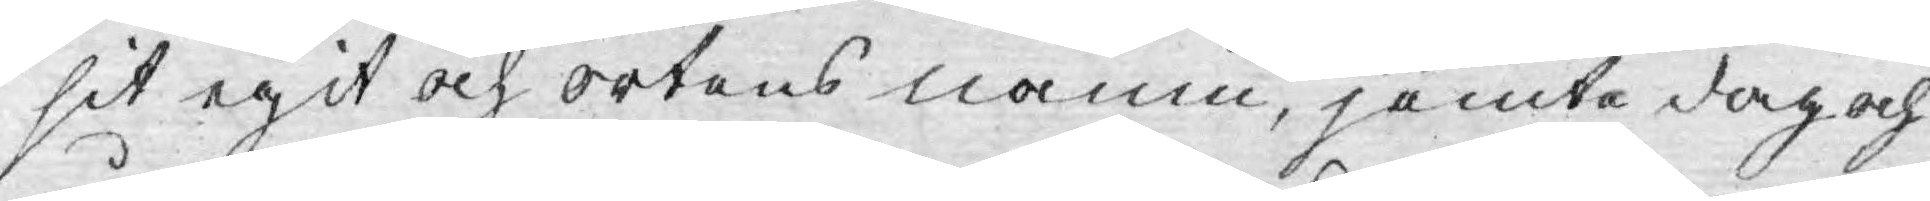sit egit och ortens namn, jemte dag och
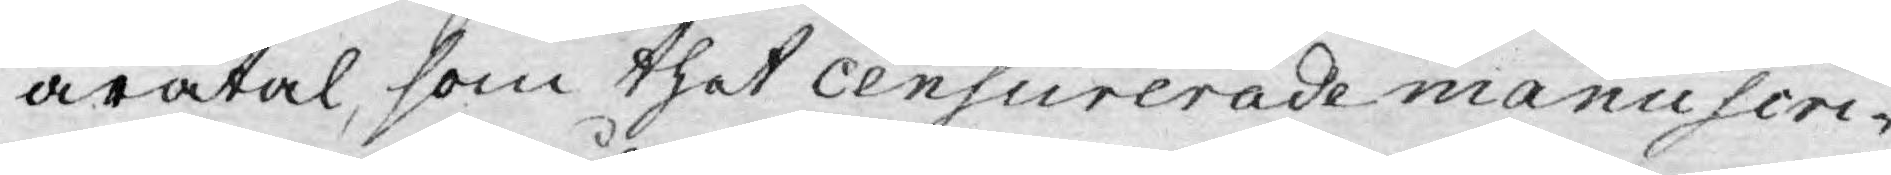åratal, som thet censurerade manuscri¬
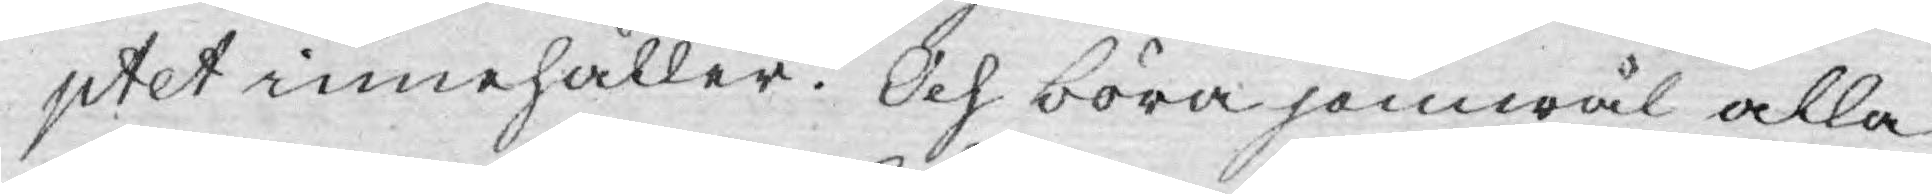ptet innehåller. Och böra jemwäl alla
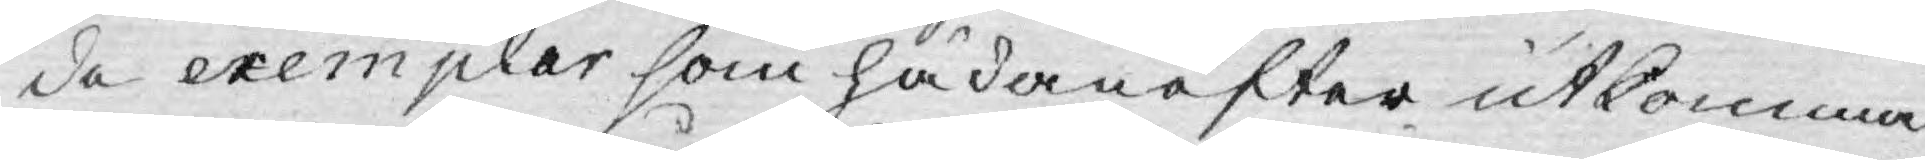de exemplar som hädanefter utkomma
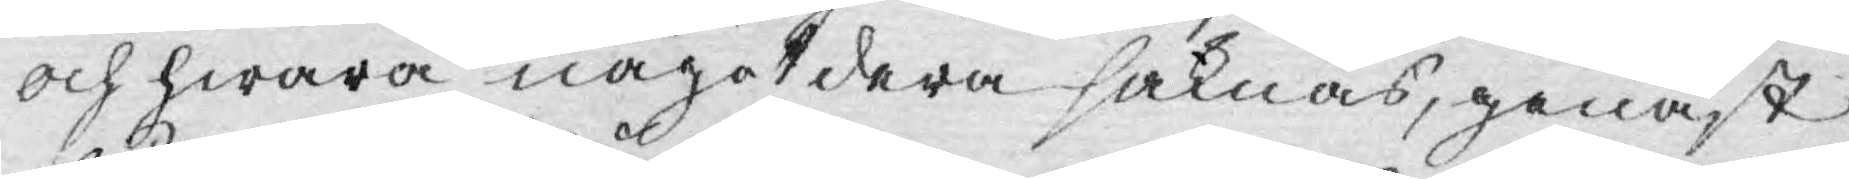och hwarå någotdera saknas, genast
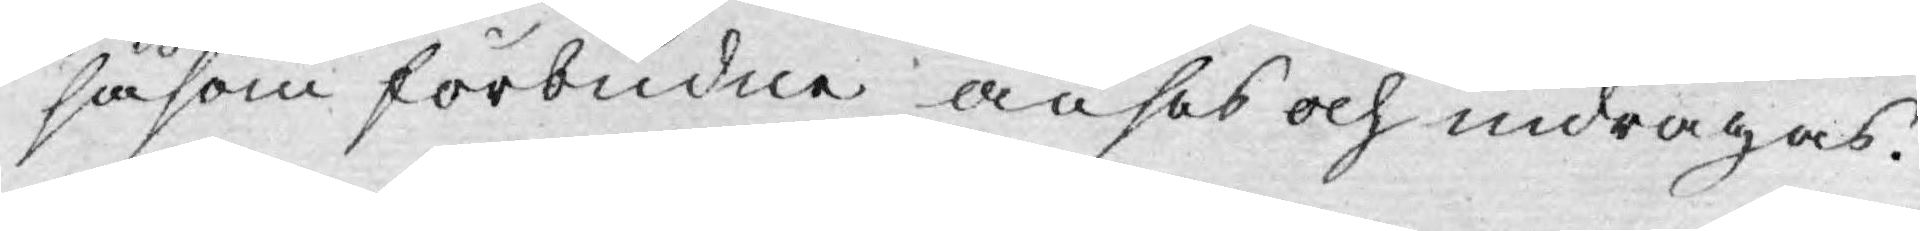såsom förbudne anses och indragas.
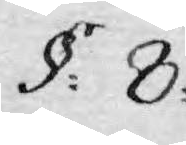§: 8.
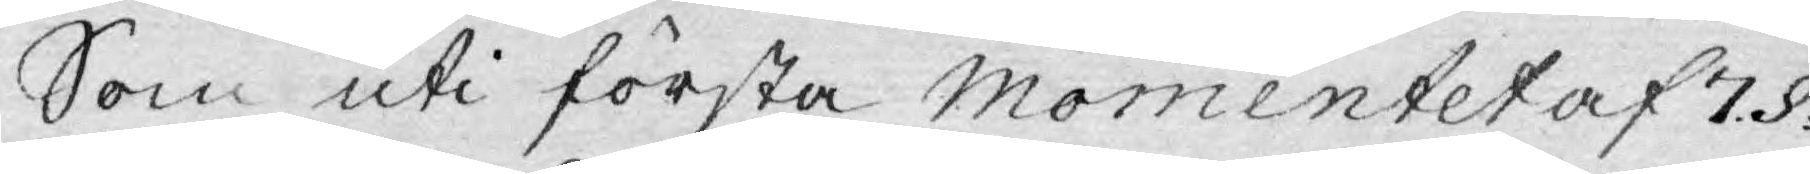Som uti första Momentet af 7.§.
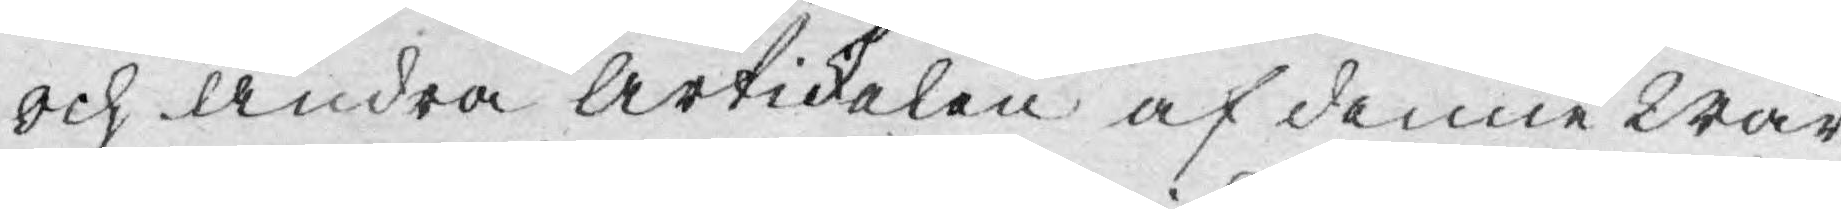och andra Artickelen af denne Wår
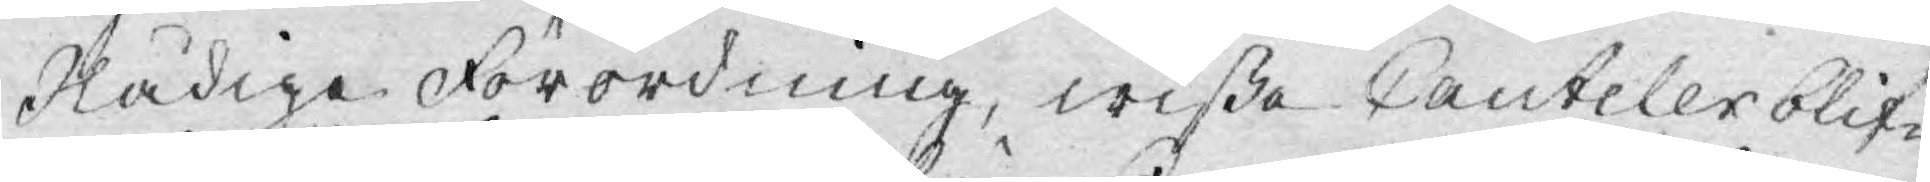Nådige Förordning, wißa Cauteler blif¬
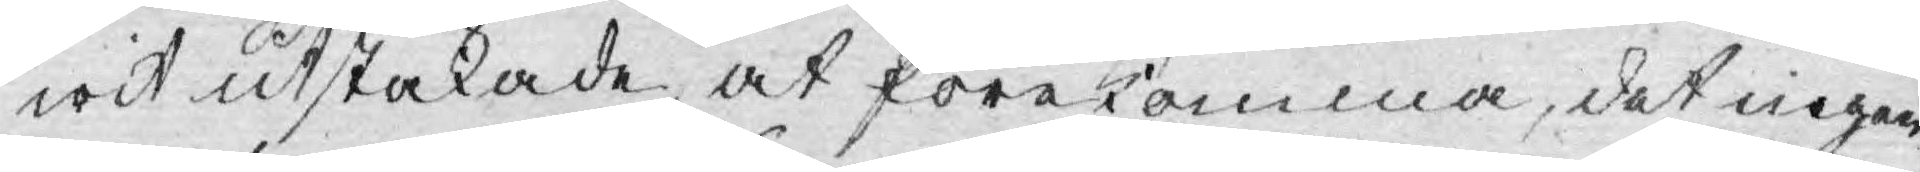wit utstakade at förekomma, det ingen
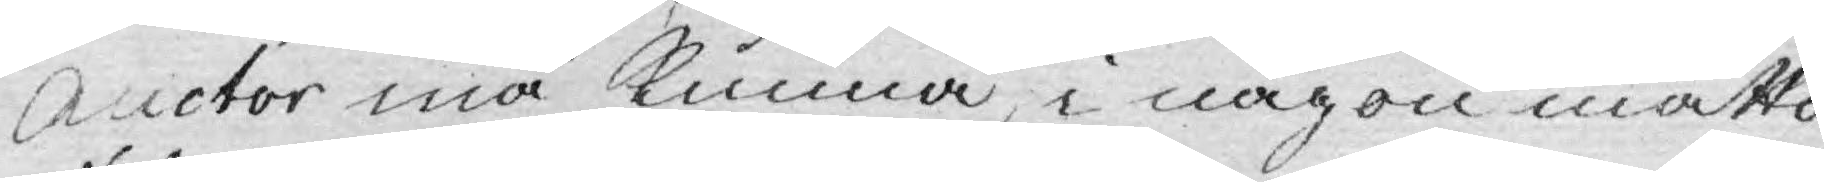Auctor må kunna, i någon måtto,
